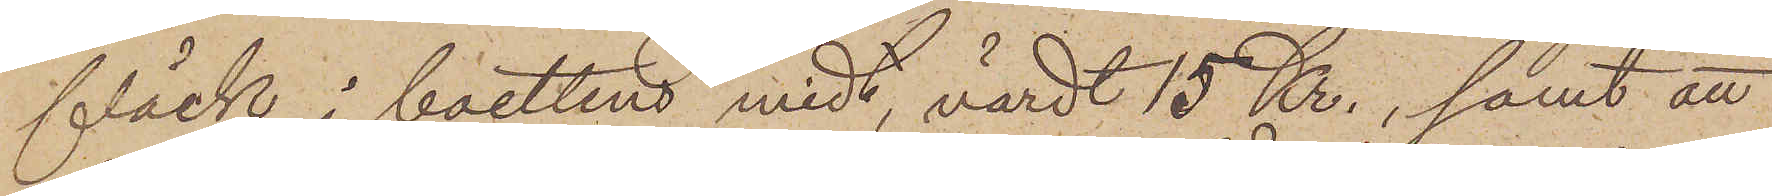fläck i boettens midt, värdt 15 Kr., samt att
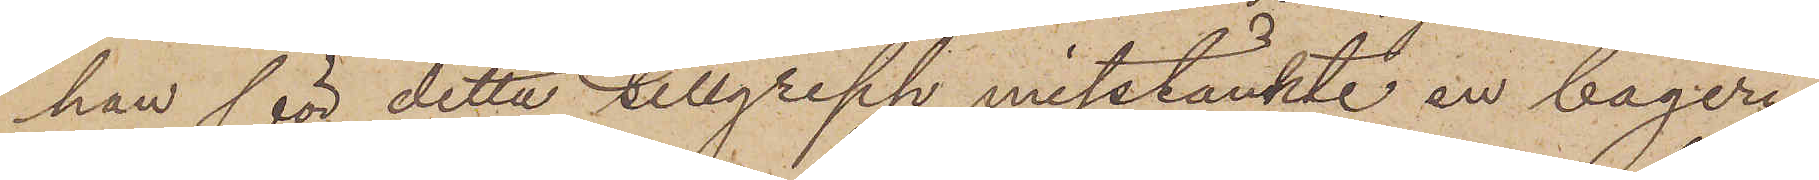han för detta tillgrepp misstänkte en bageri¬
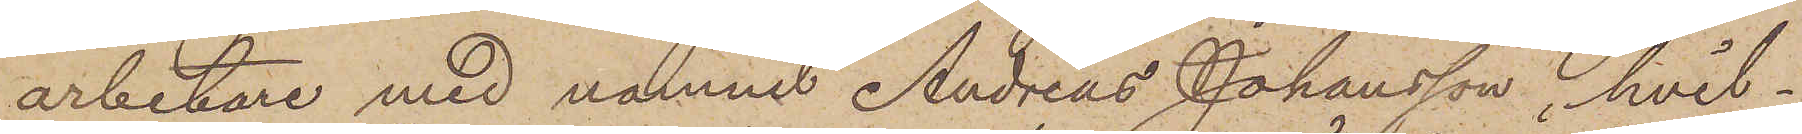arbetare med namnet Andreas Johansson, hvil¬
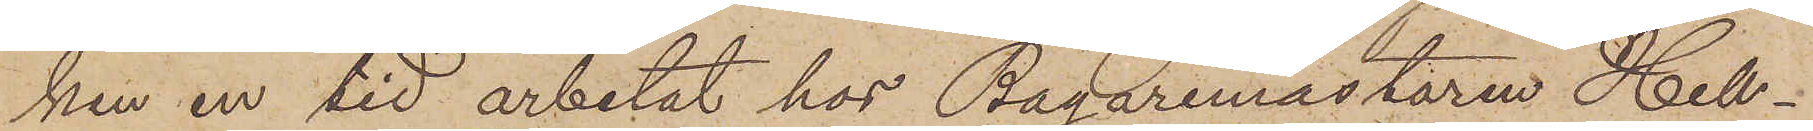ken en tid arbetat hos Bagaremästaren Hell¬
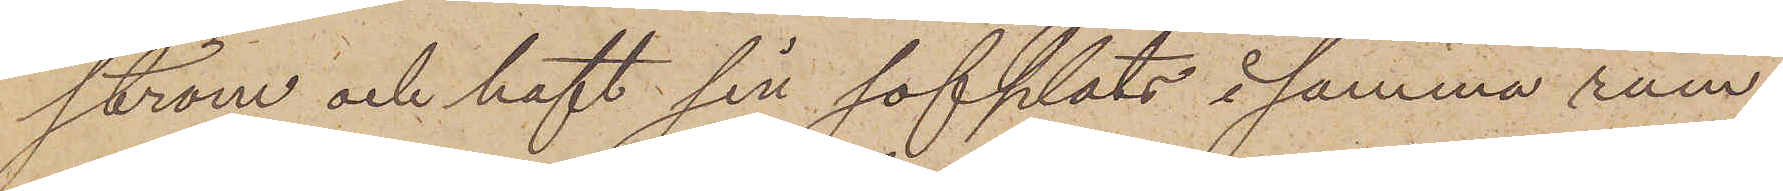ström och haft sin sofplats i samma rum,
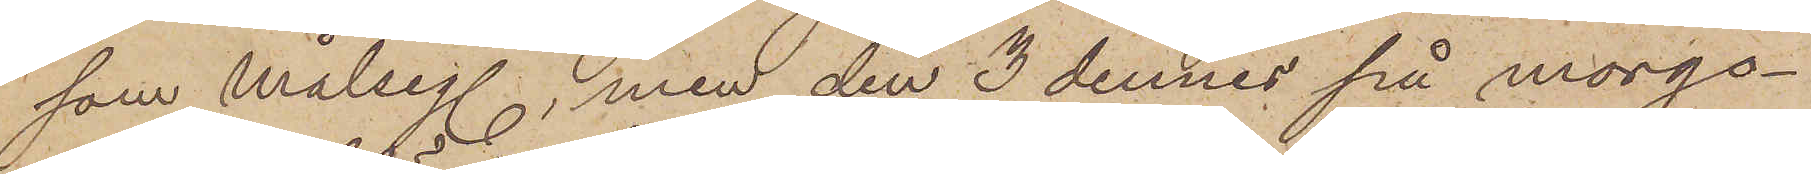som målseg. men den 3 dennes på morgo¬
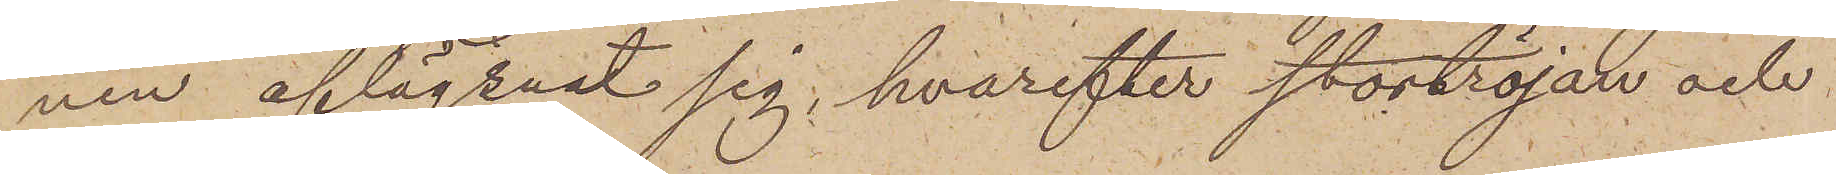nen aflägsnat sig, hvarefter stortröjan och
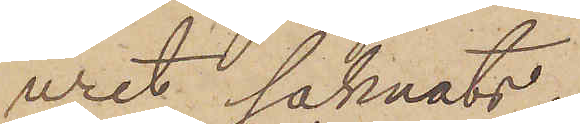uret saknats.
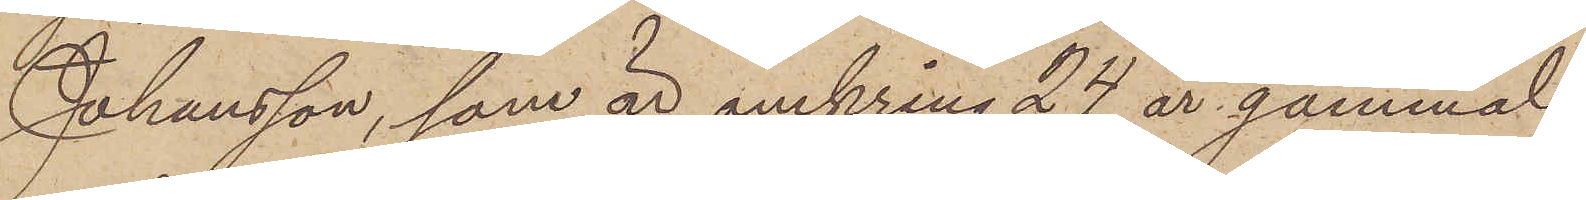Johansson, som är omkring 24 år gammal
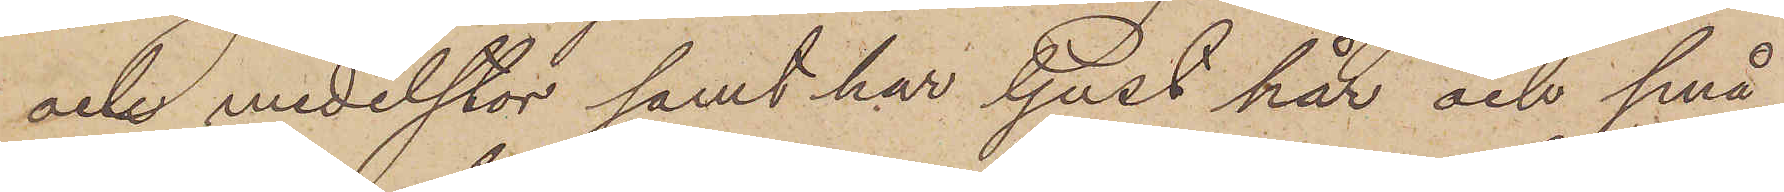och medelstor samt har ljust hår och små
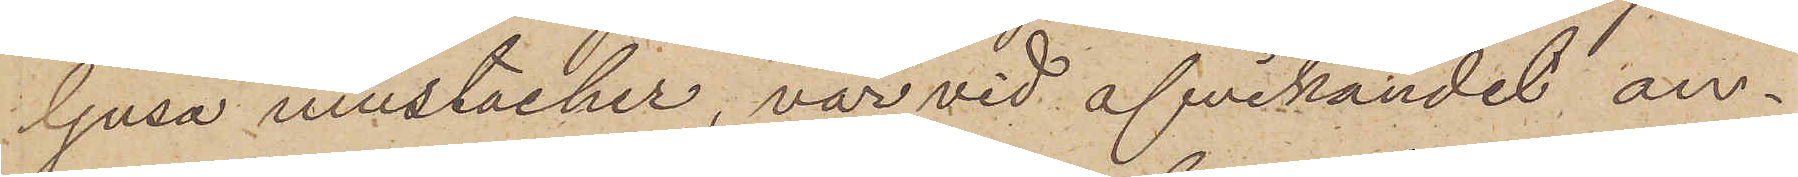ljusa mustacher, var vid afvikandet an¬
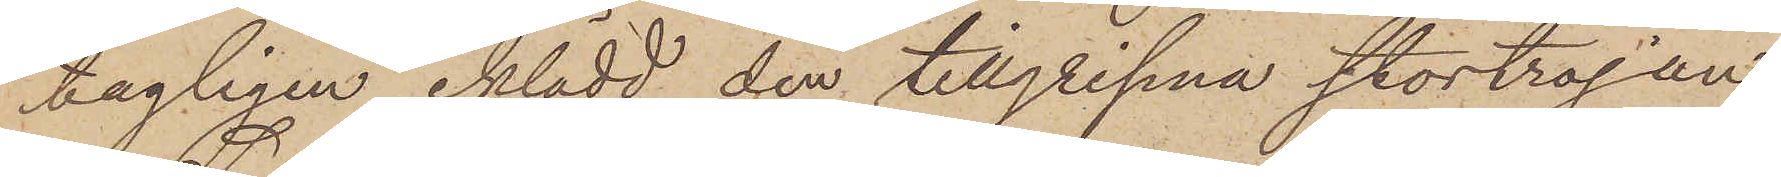tagligen iklädd den tillgripna stortröjan.
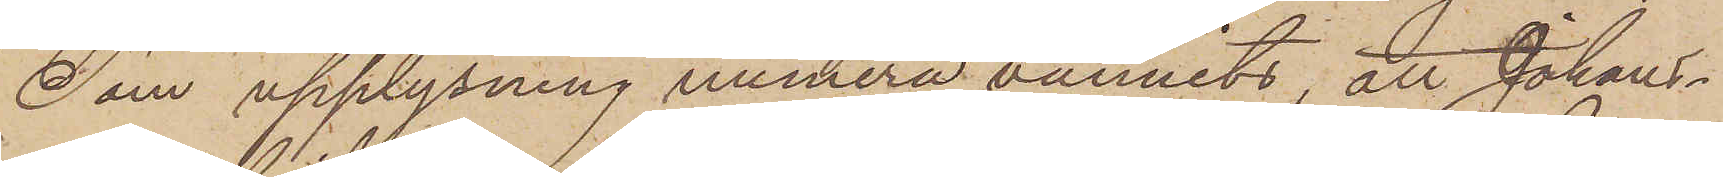Som upplysning numera vunnits, att Johans¬
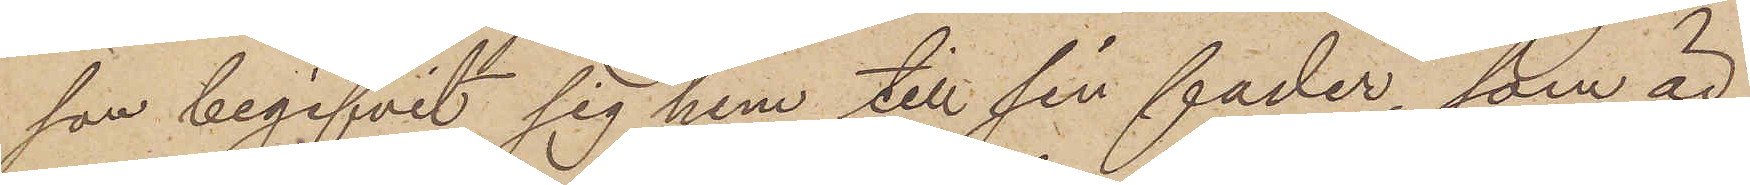son begifvit sig hem till sin fader, som är
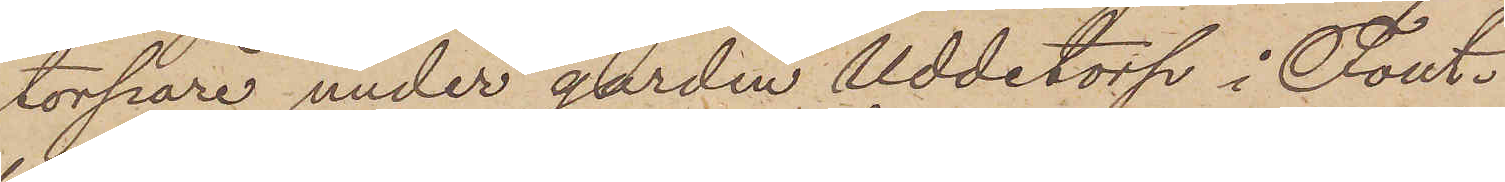torpare under gården Uddetorp i Fout¬
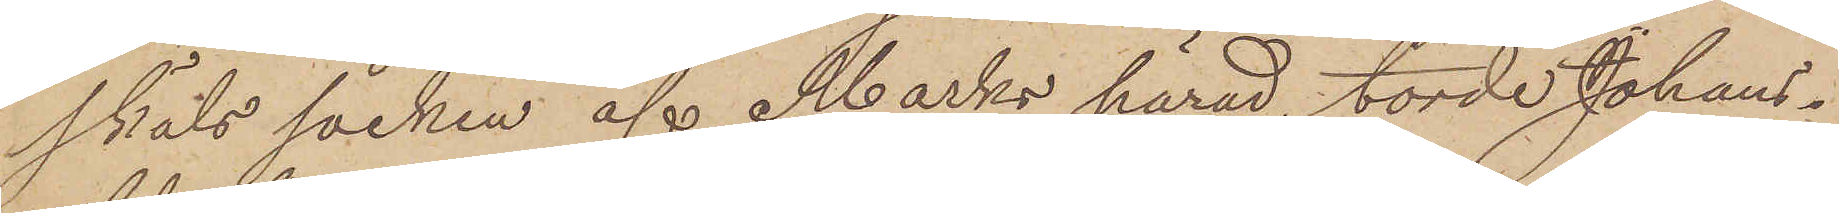skäls socken af Marks härad, torde Johans
